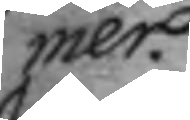mer
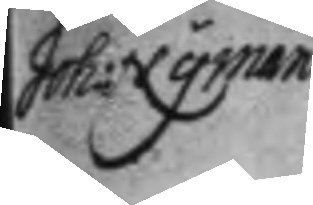Joh: Nyman
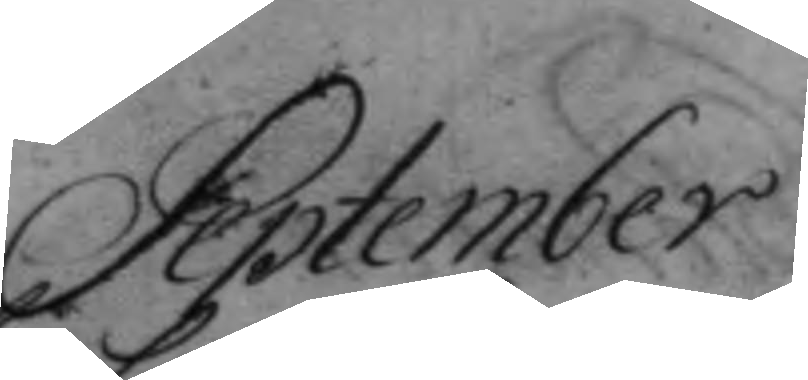September
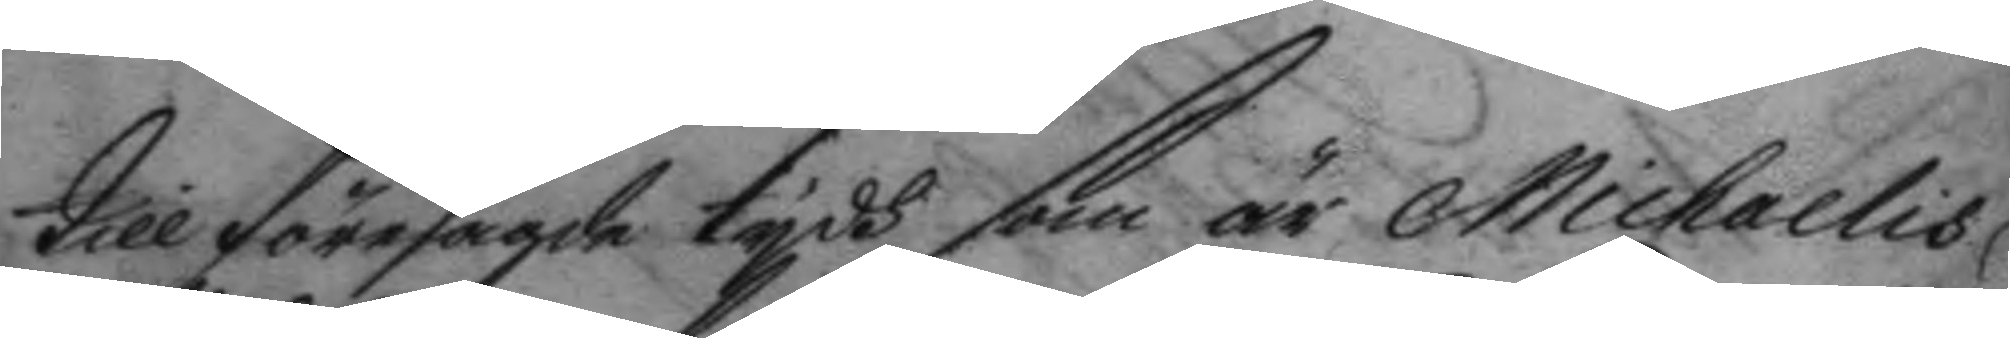till föresagde tydh som är Michaelis
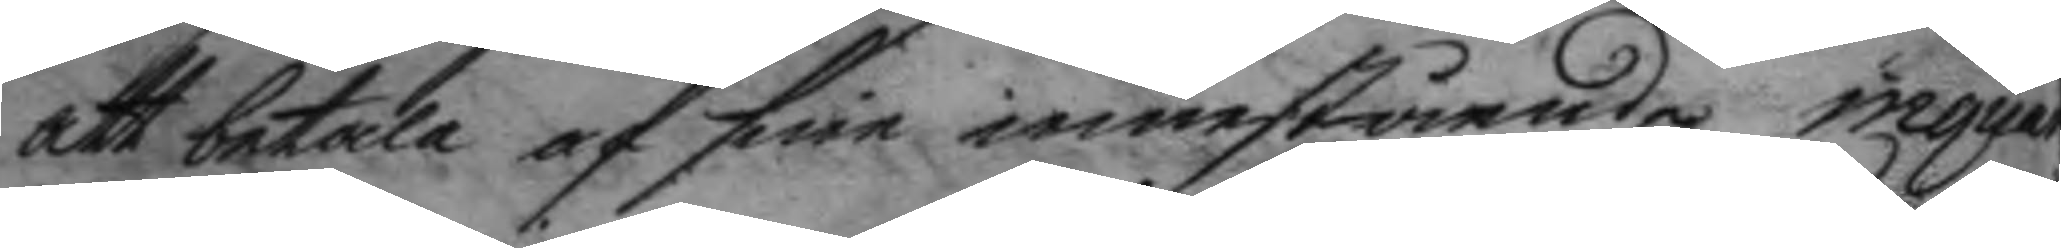attt betala af sine innestående inquar¬
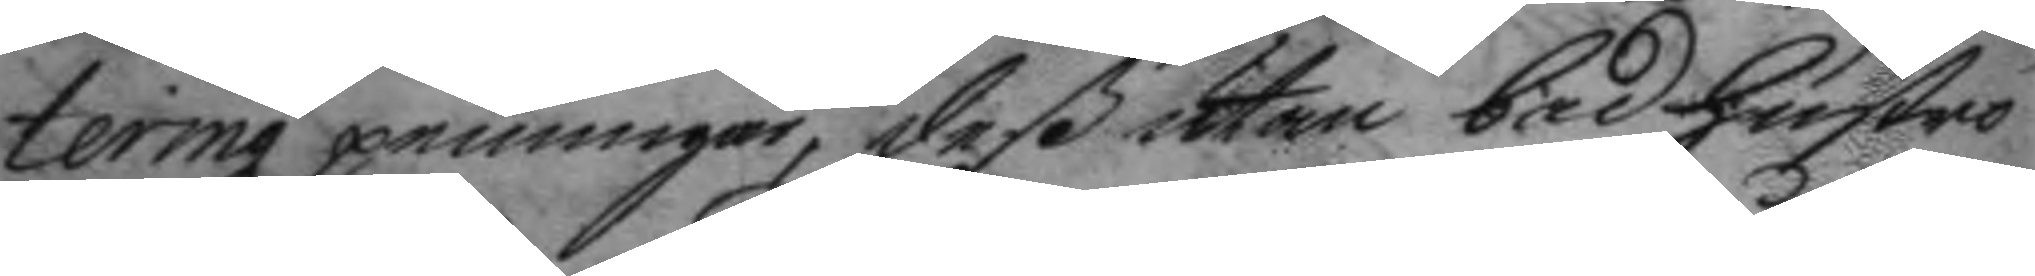teringz penningar, deß utan bad hustro
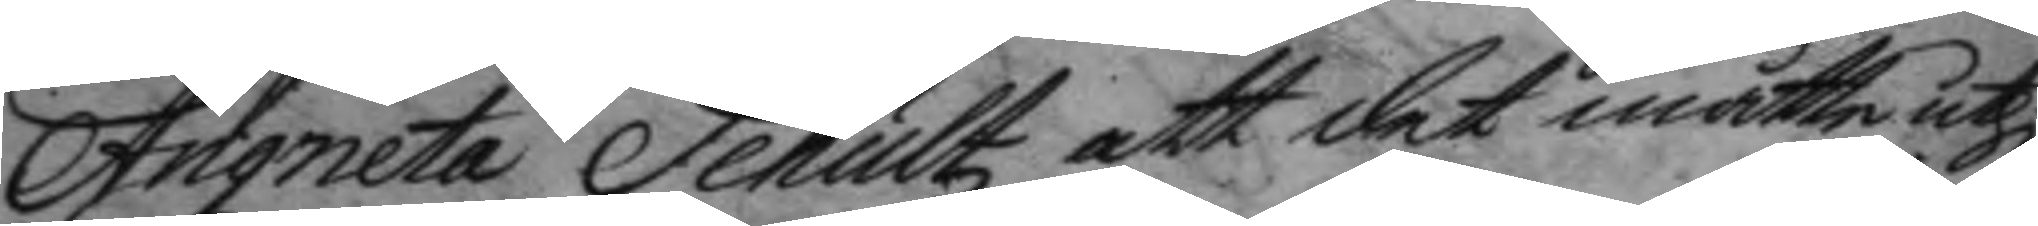Angneta Schultz att det måtte uthi
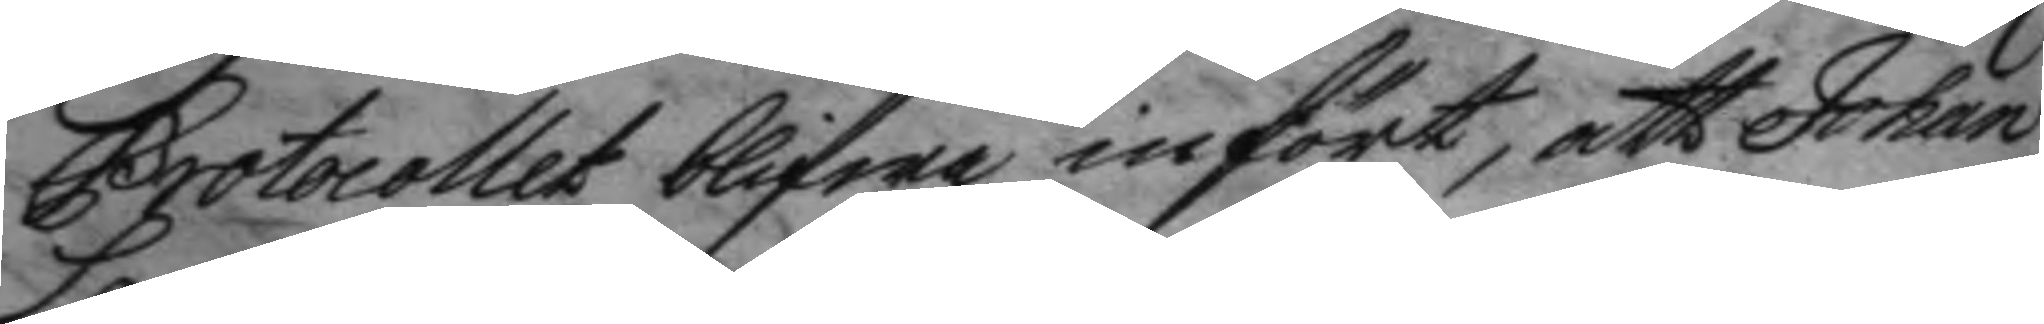Protocollet blifwa infört, att Johan
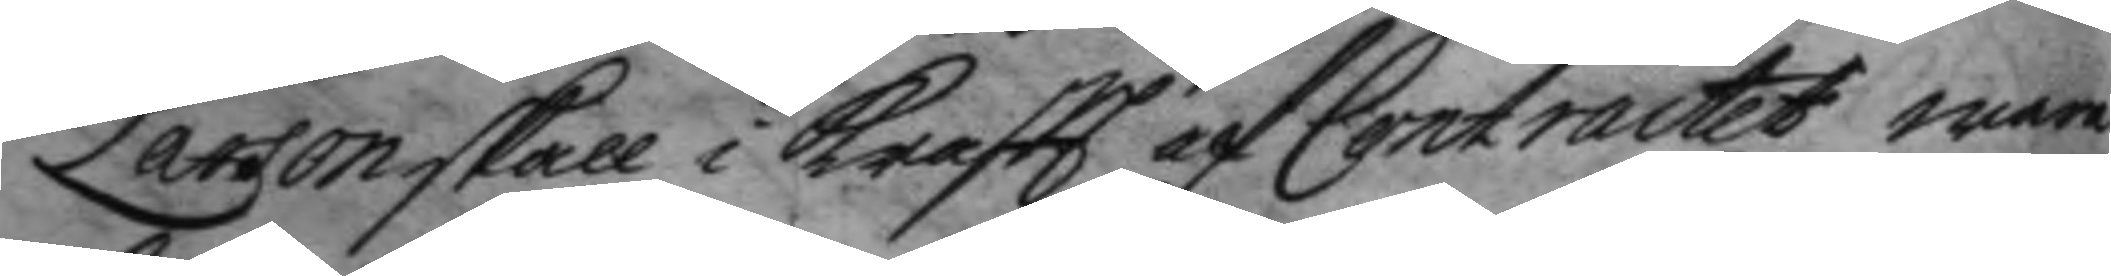Larson skall i kraftt af Contractet wara
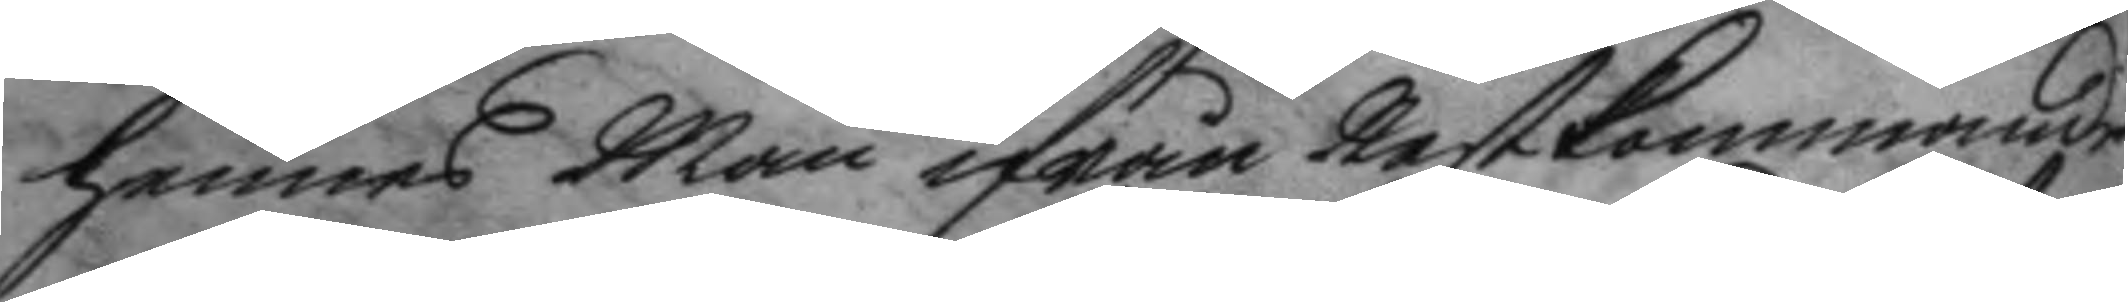hennes Man ifrån Nestkommande
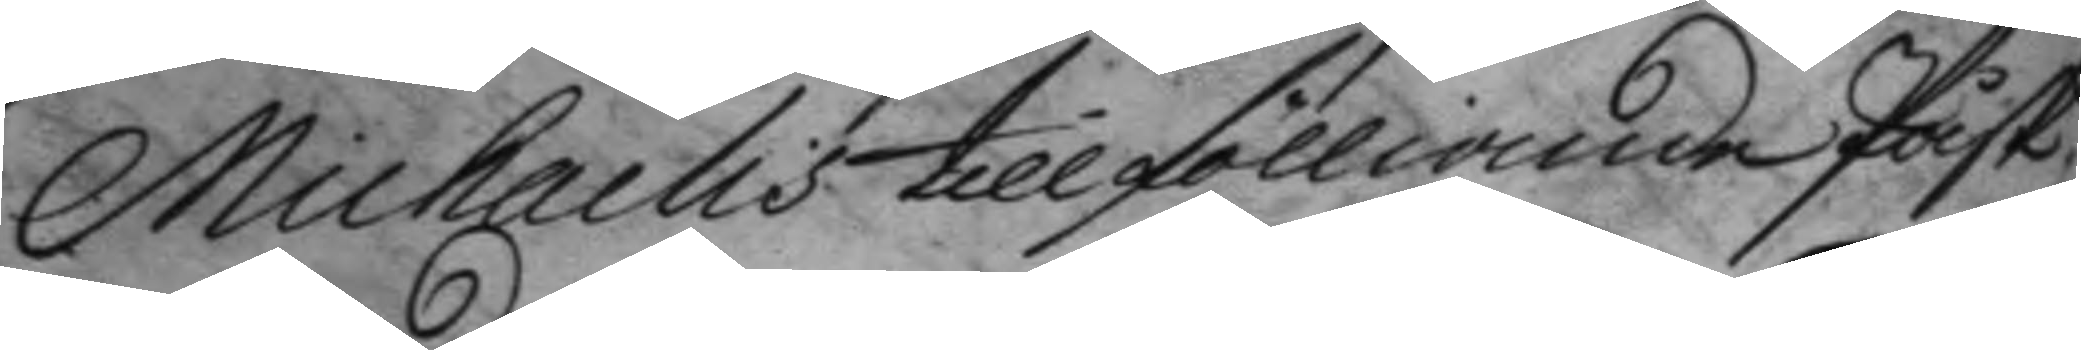Michaelis till fölliande Påsk.
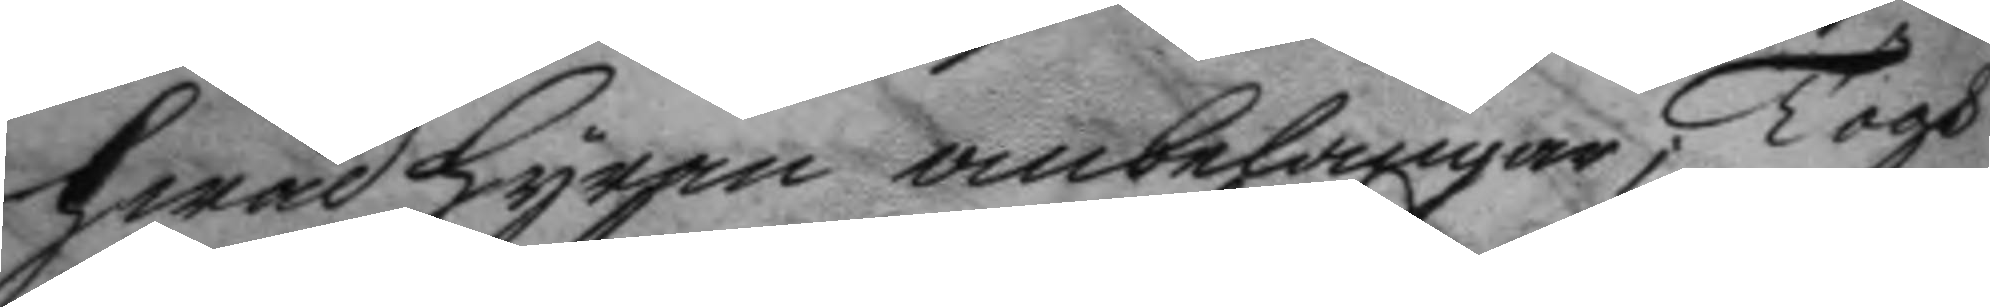hwad hyran anbelangar; Togh
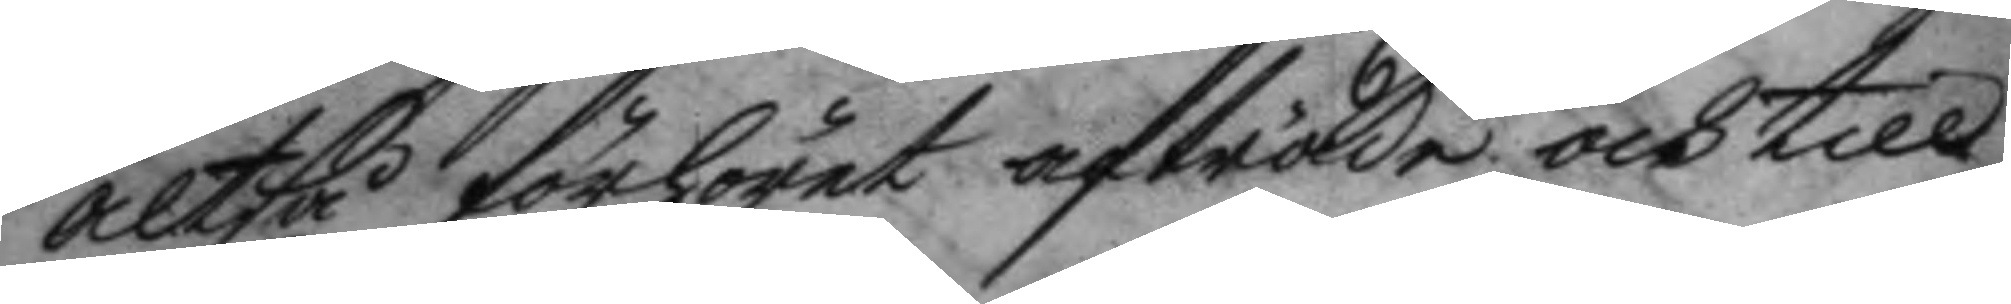altså förhöret afträde och till¬
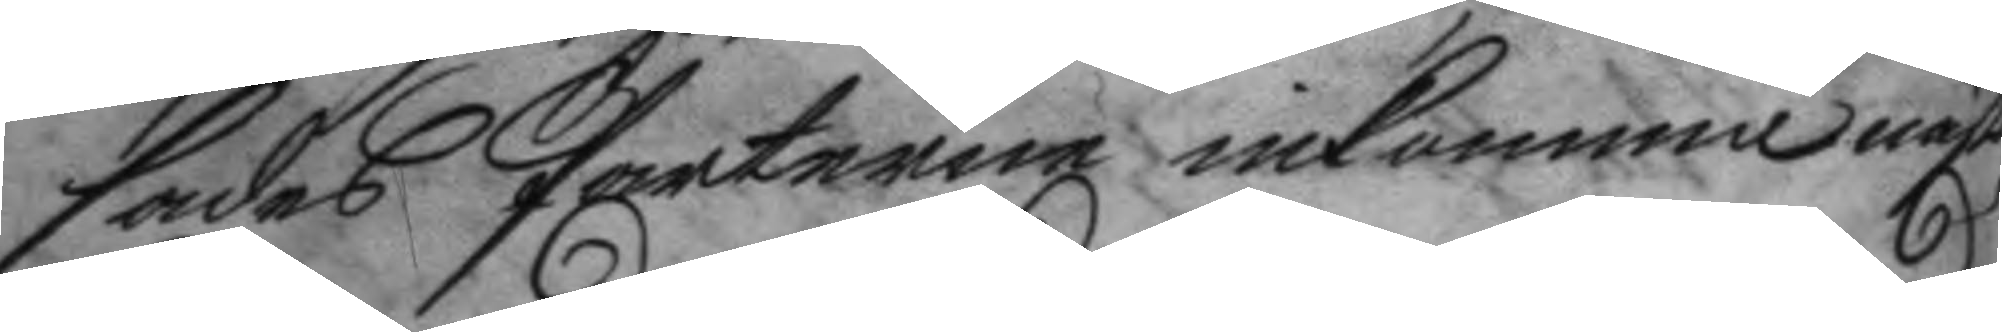sades Parterne inkomma näst
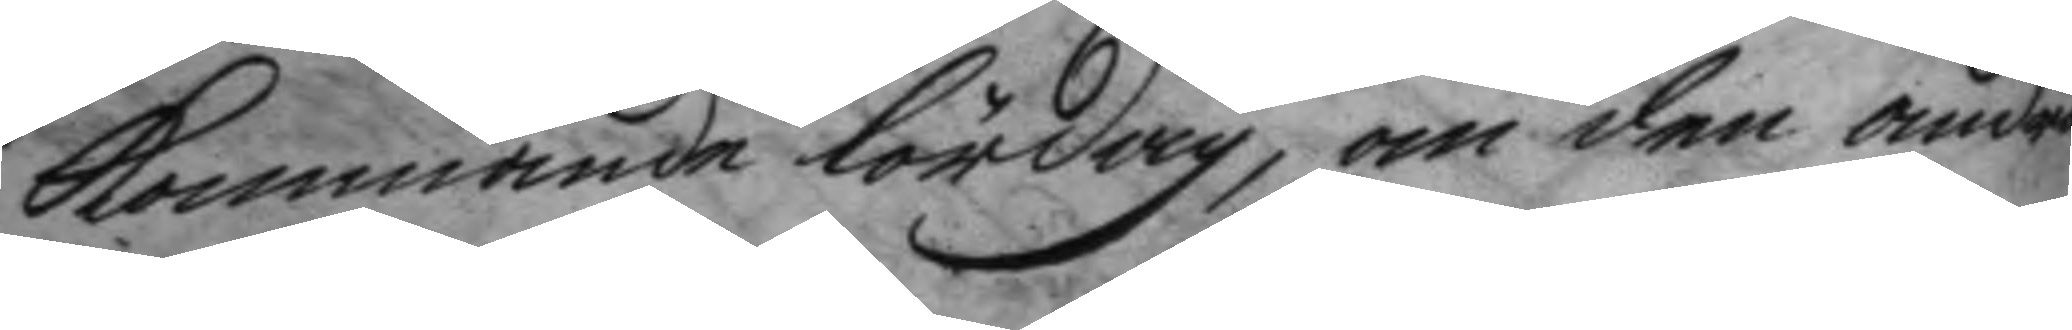kommande lördag, om den andra
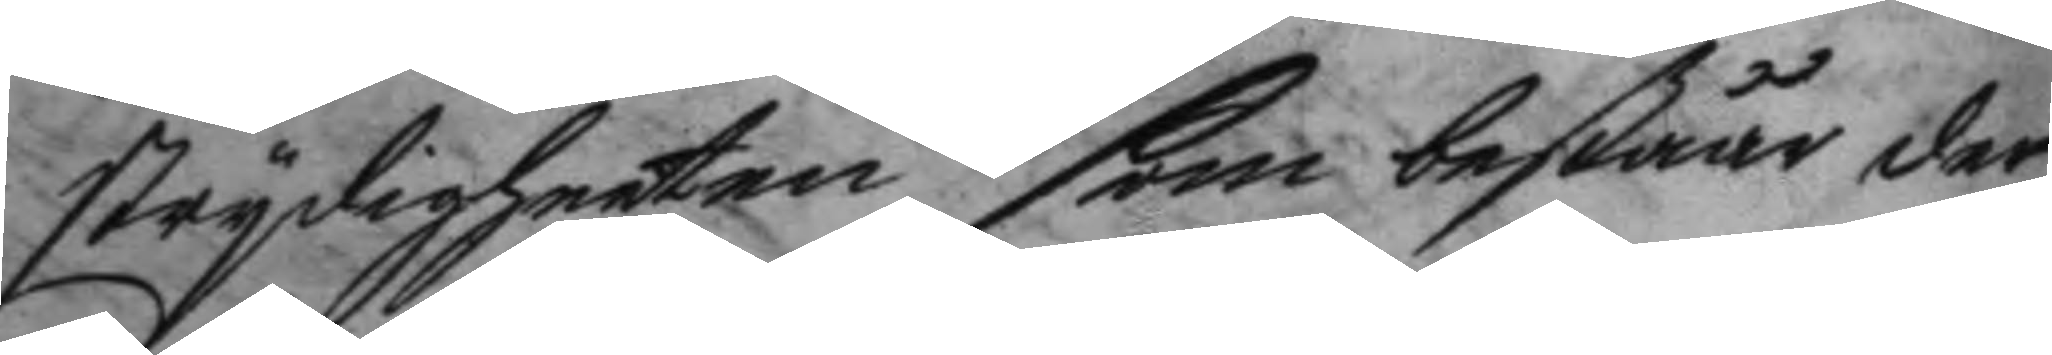strydigheeten som beståår der
